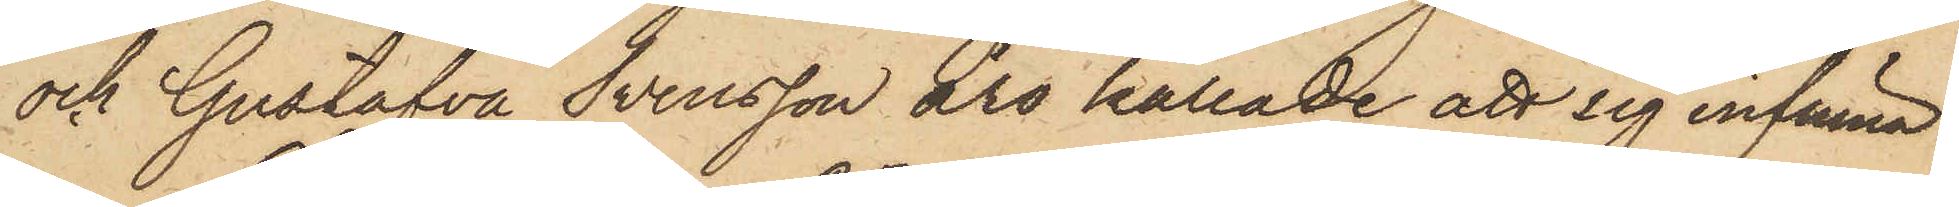och Gustafva Svensson äro kallade att sig infinna.
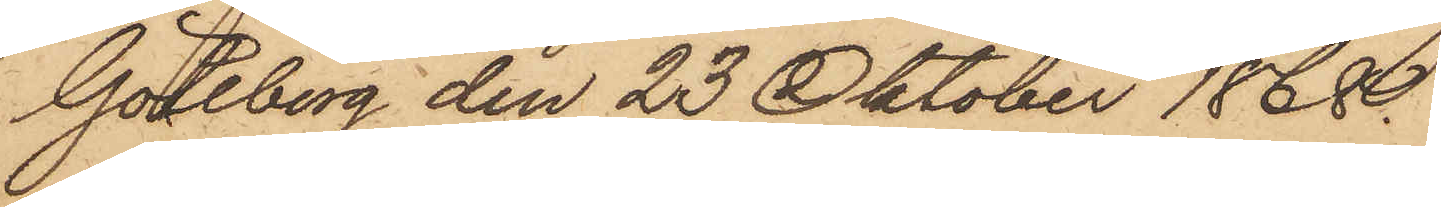Göteborg den 23 Oktober 1868.
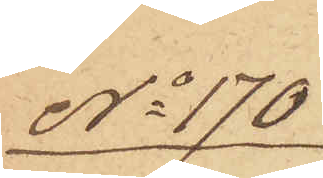No 170
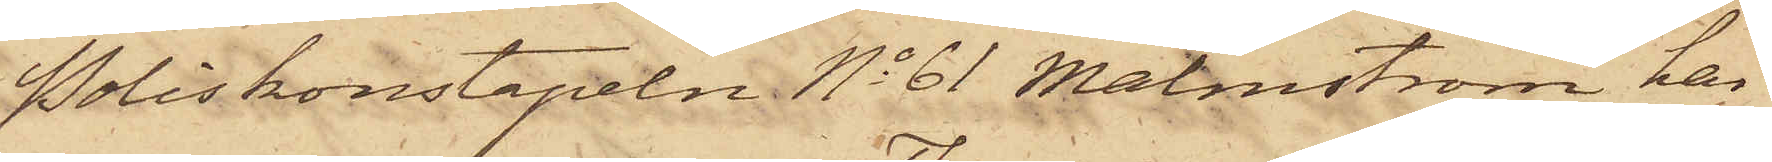Poliskonstapeln No 61 Malmström har
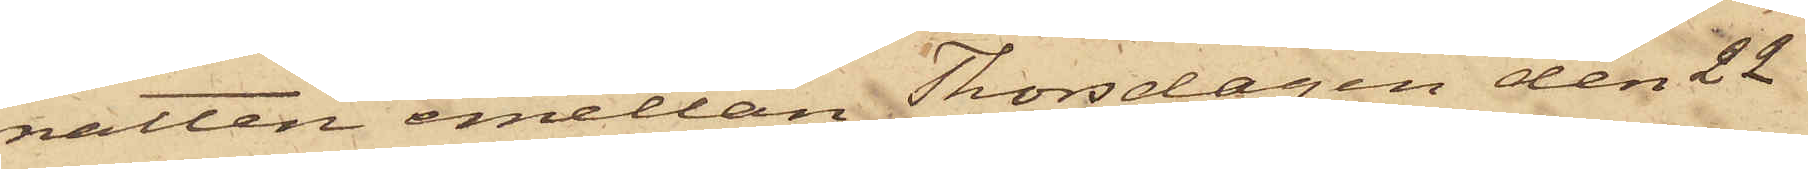natten emellan Thorsdagen den 22
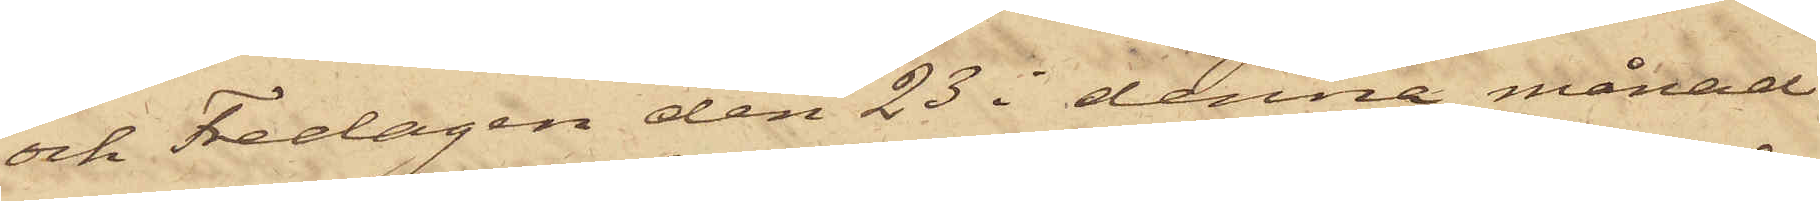och Fredagen den 23 i denna månad
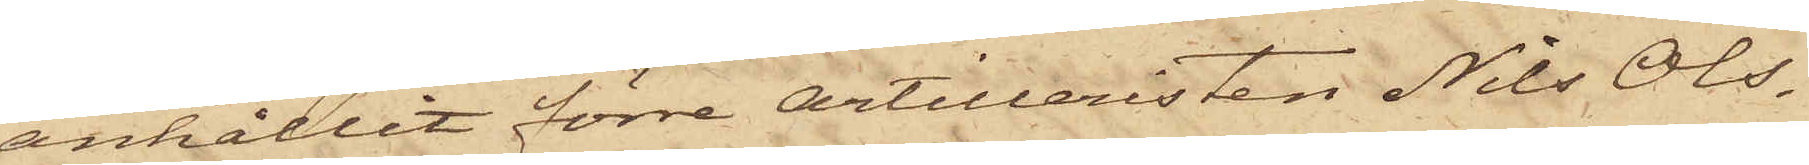anhållit förre artilleristen Nils Ols¬
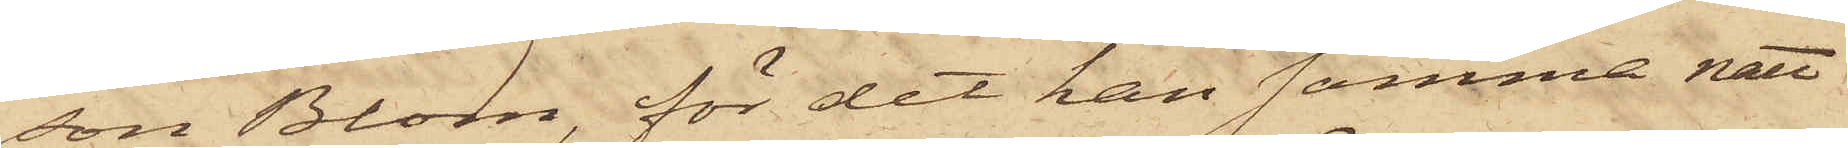son Blom, för det han samma natt
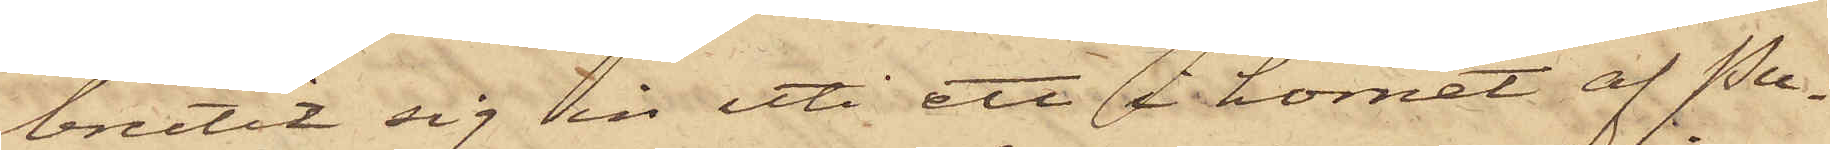brutit sig in uti ett å hörnet af Pu¬
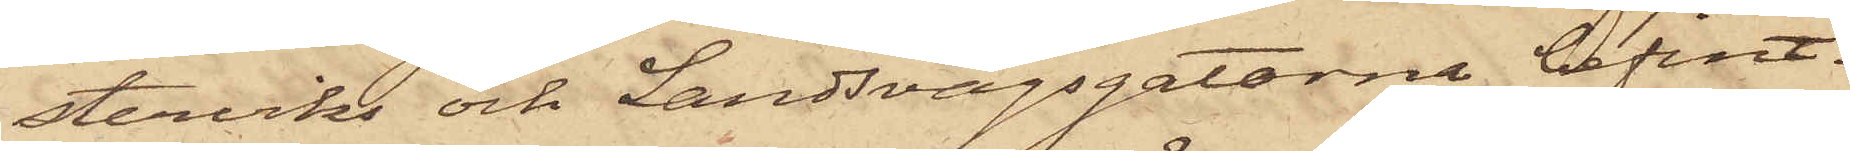sterviks och Landsvägsgatorna befint¬
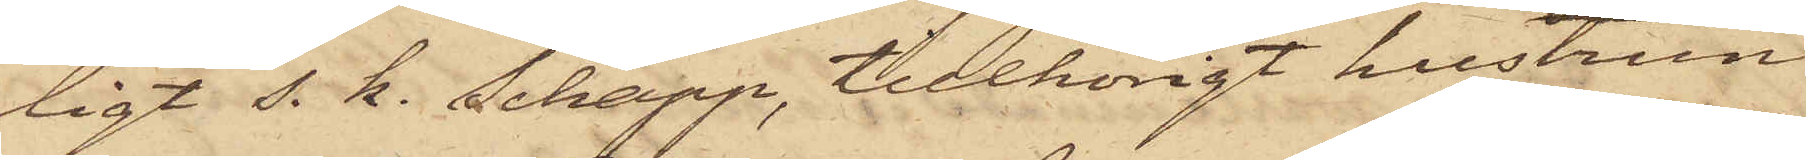ligt s. k. Schapp, tillhörigt hustrun
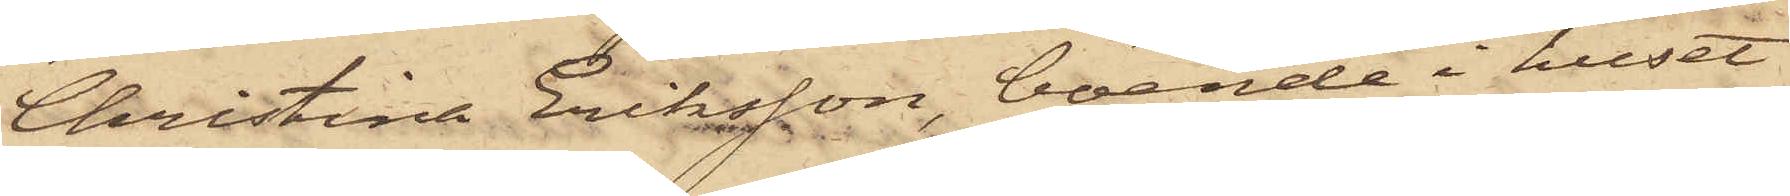Christina Eriksson, boende i huset
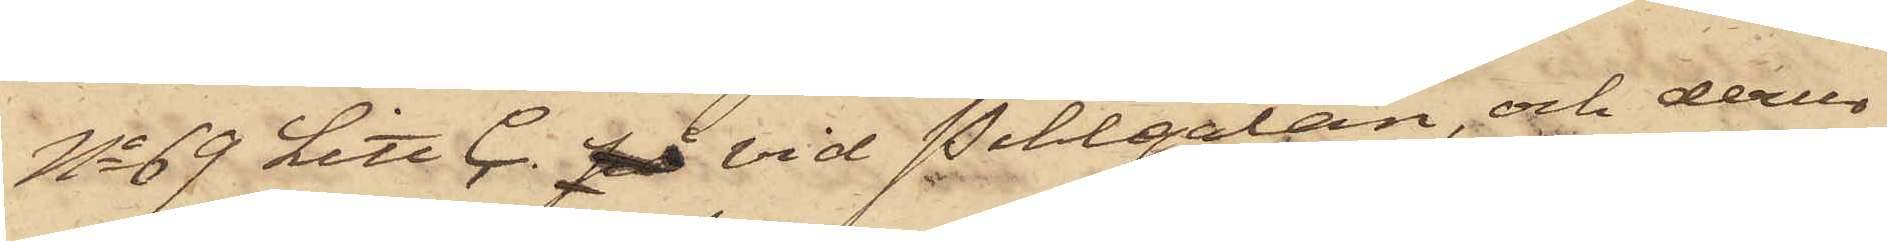No 69 Litt C. på vid Pihlgatan, och derur
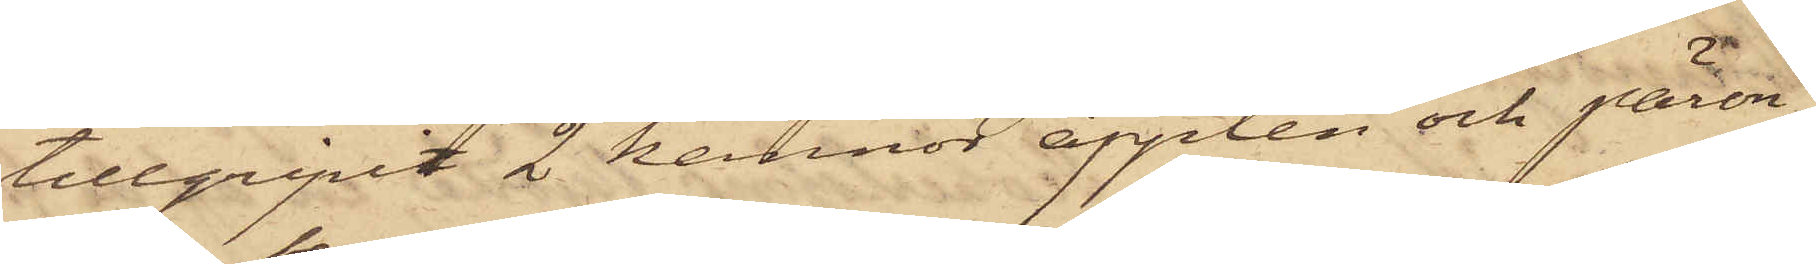tillgripit 2 kannor äpplen och päron,
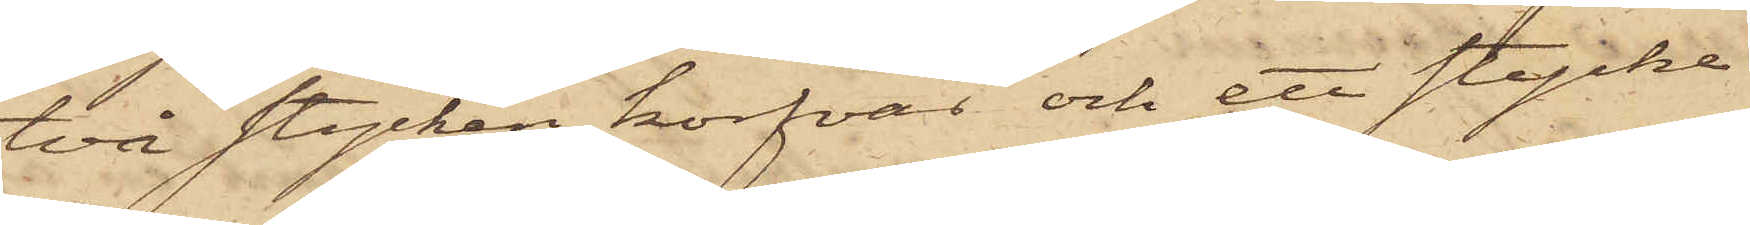två stycken korfvar och ett stycke
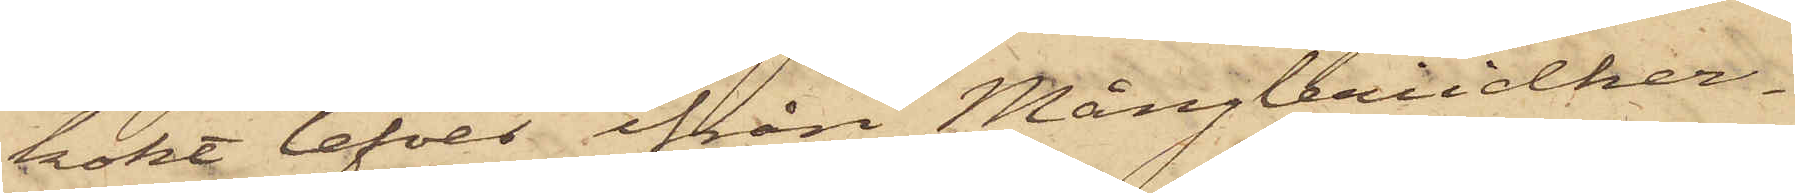kokt lefver ifrån Mångleriidker¬
